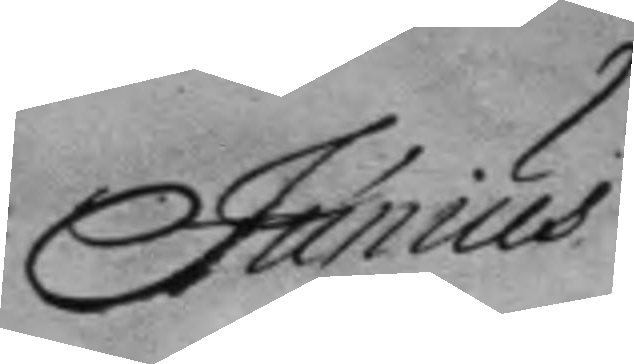Junius
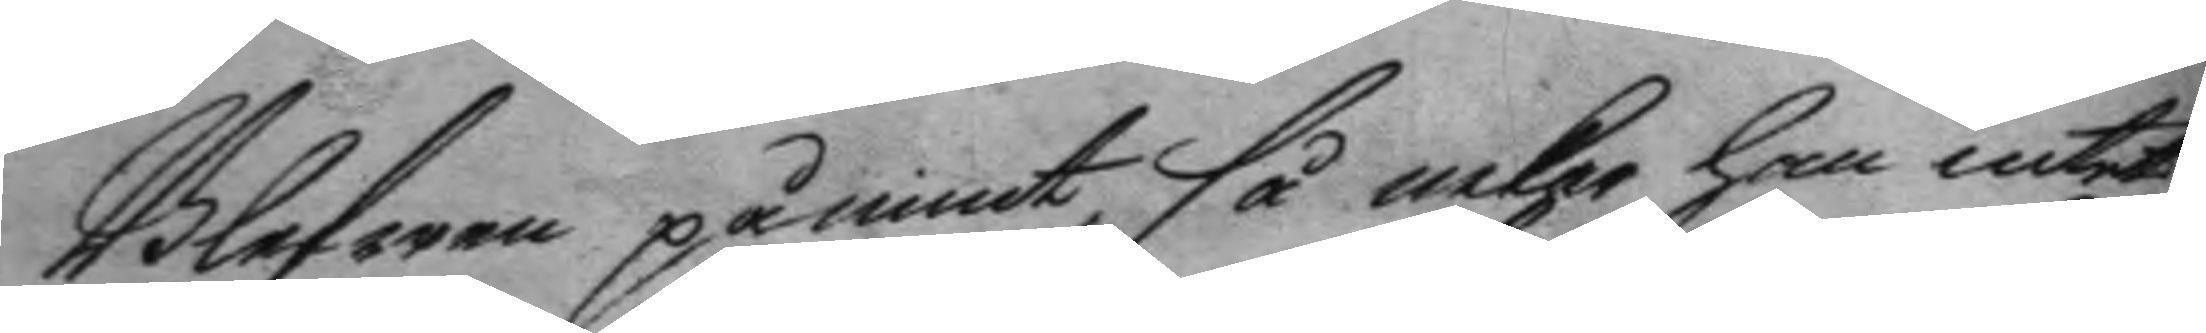Blefwen påmint så nekar han intet
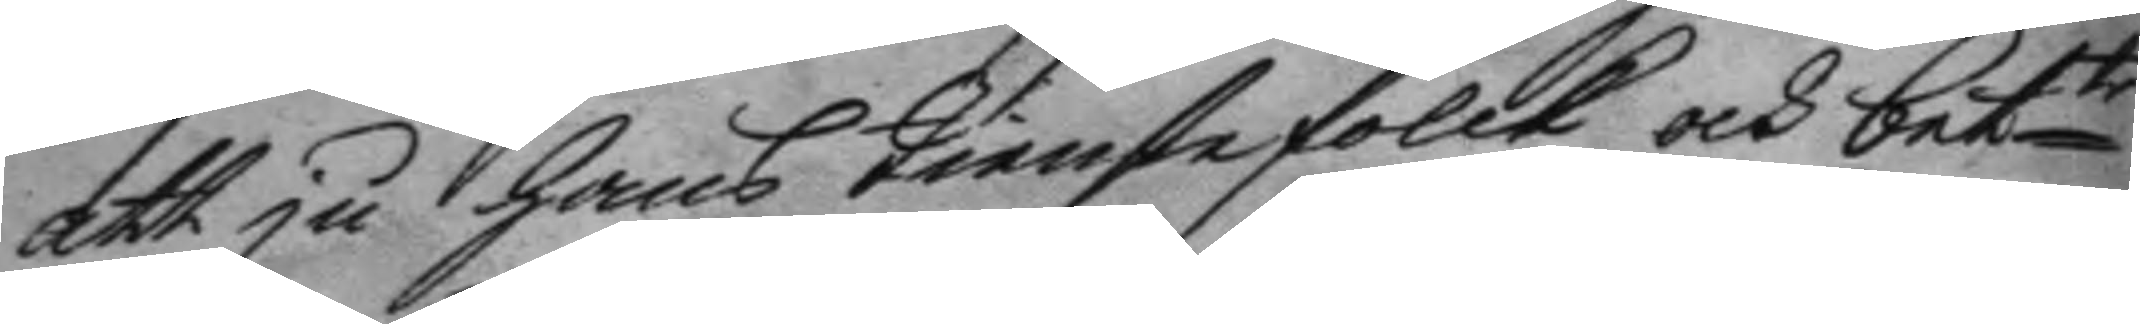att ju hans tienstefolck och bette
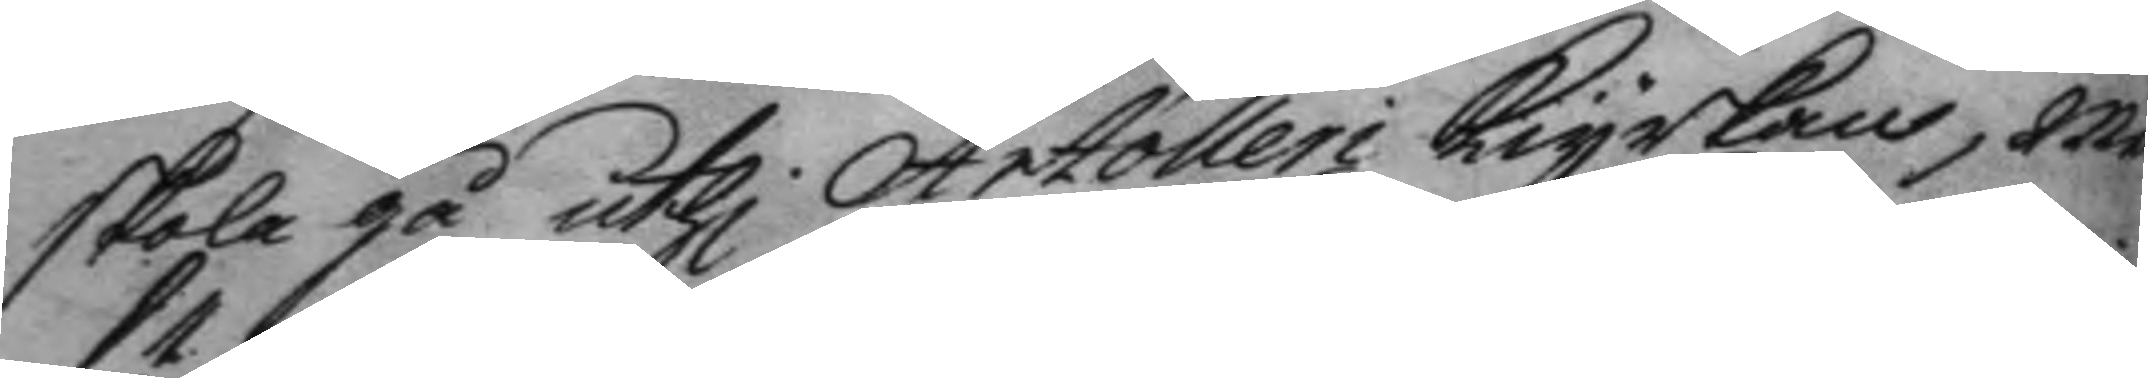skola gå uthi Artolleri kiyrkan, men
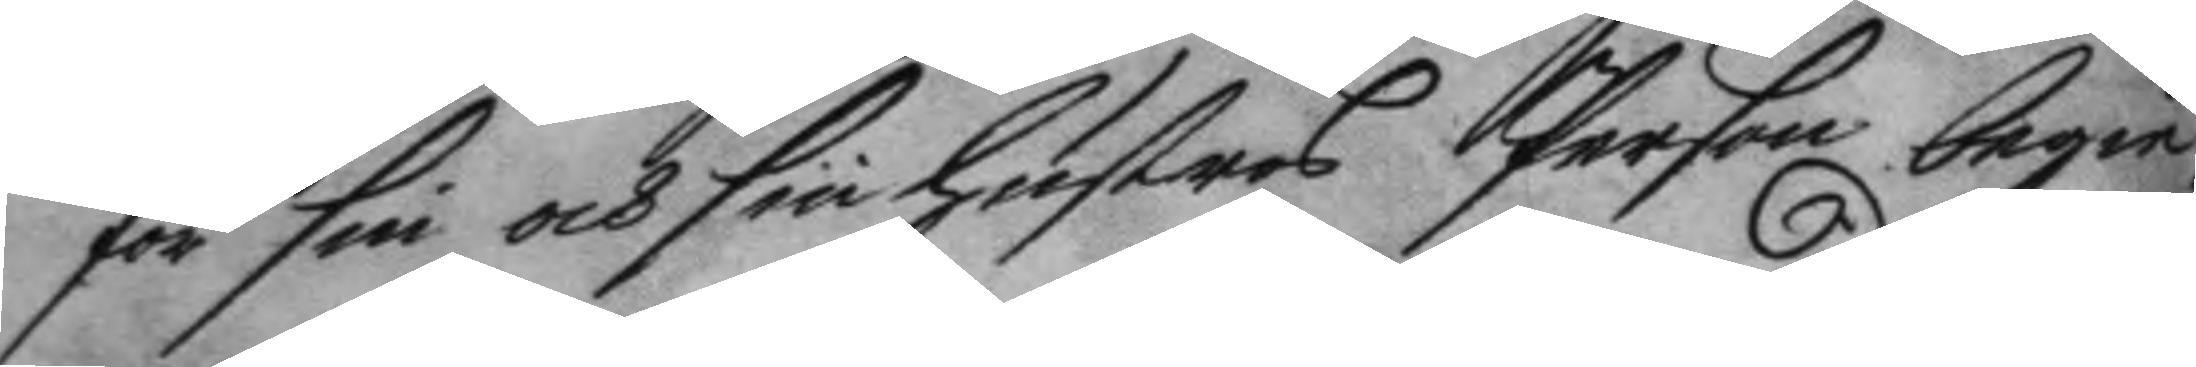för sin och sin hustrus Person begie¬
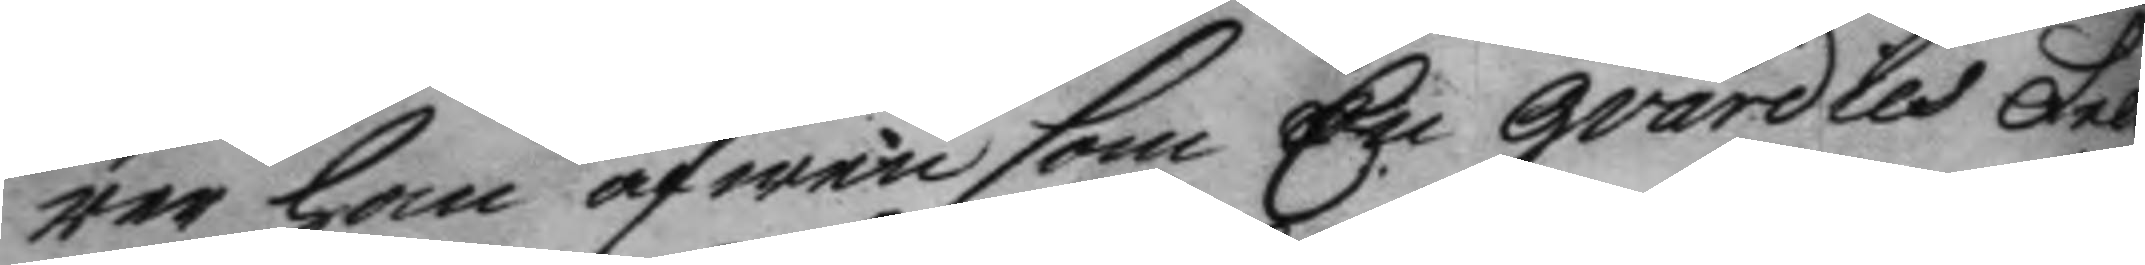rer han äfwen som En gvardies Felt¬
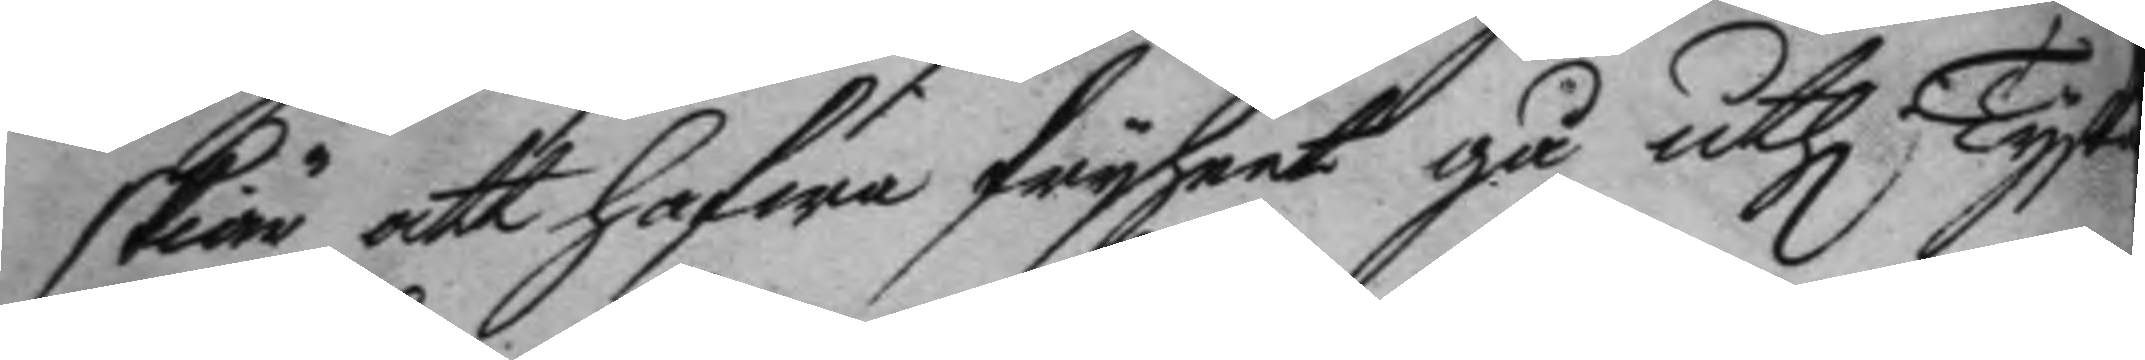skiär att hafwa fryheet gå uthi Tyska
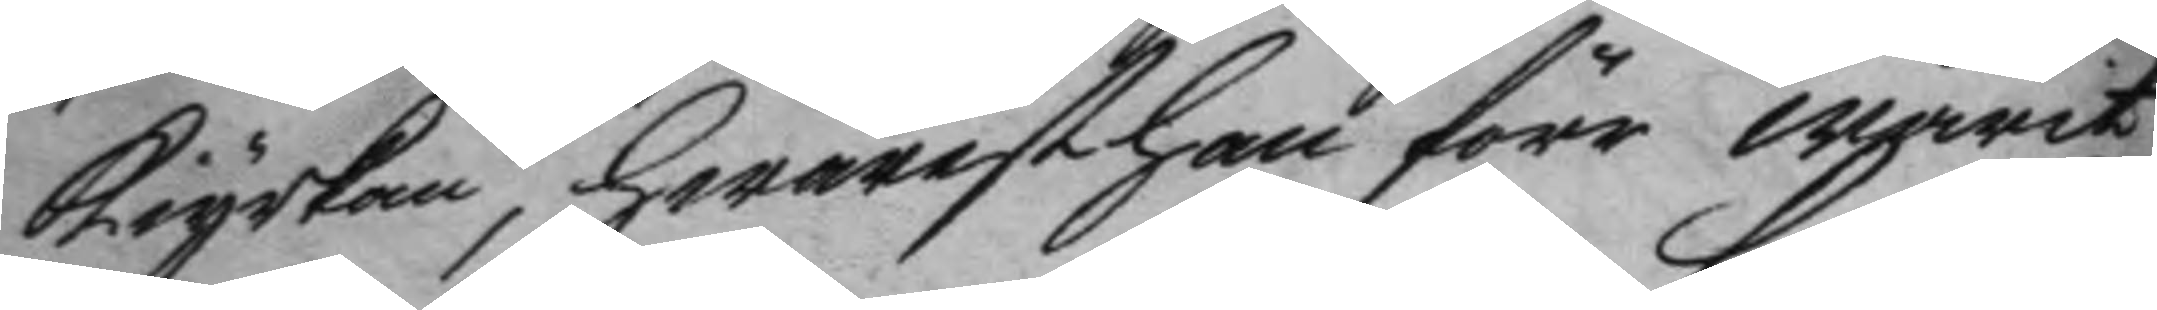kiyrkan hwarest han förr warit
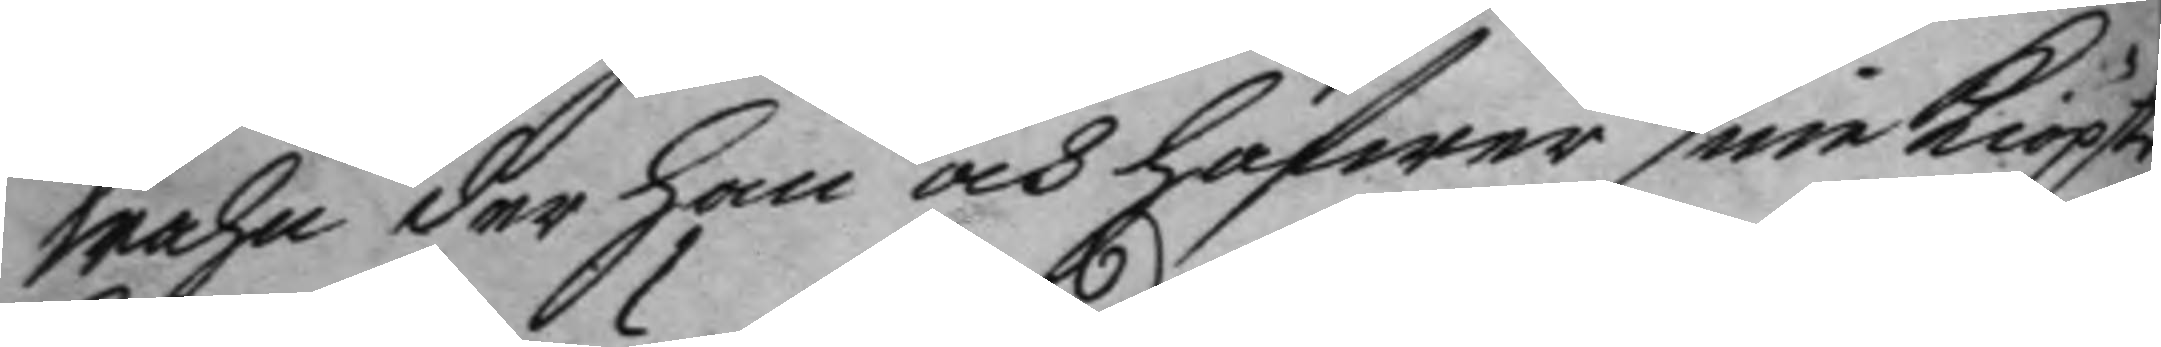wahn der han och hafwer sine kiöpte
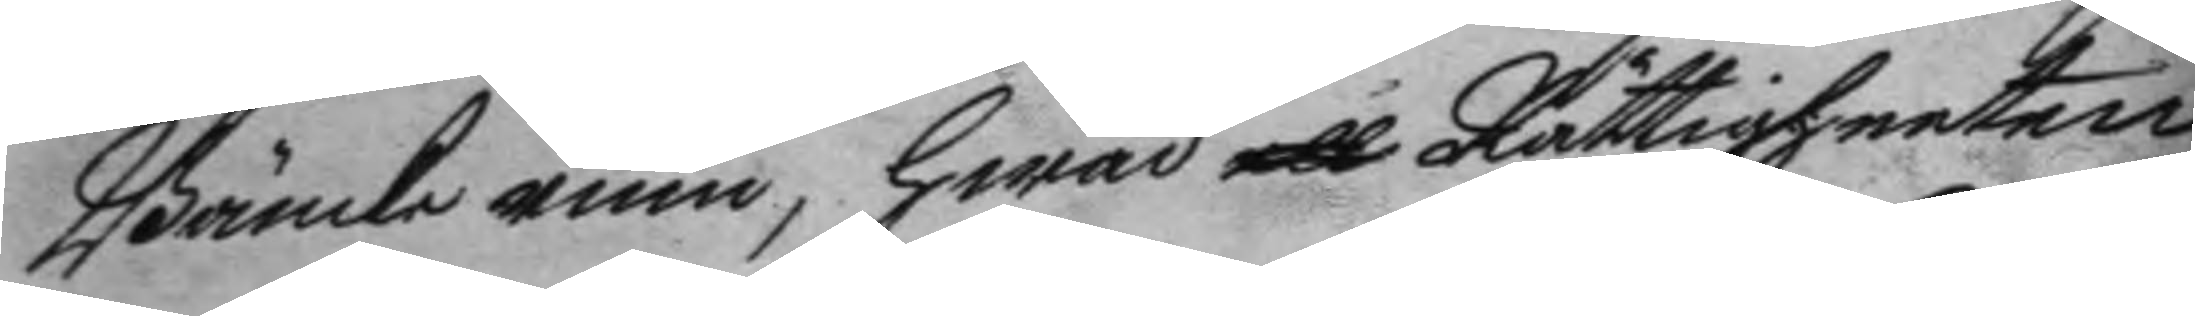Bänkerum, hwad ett Rättigheeten
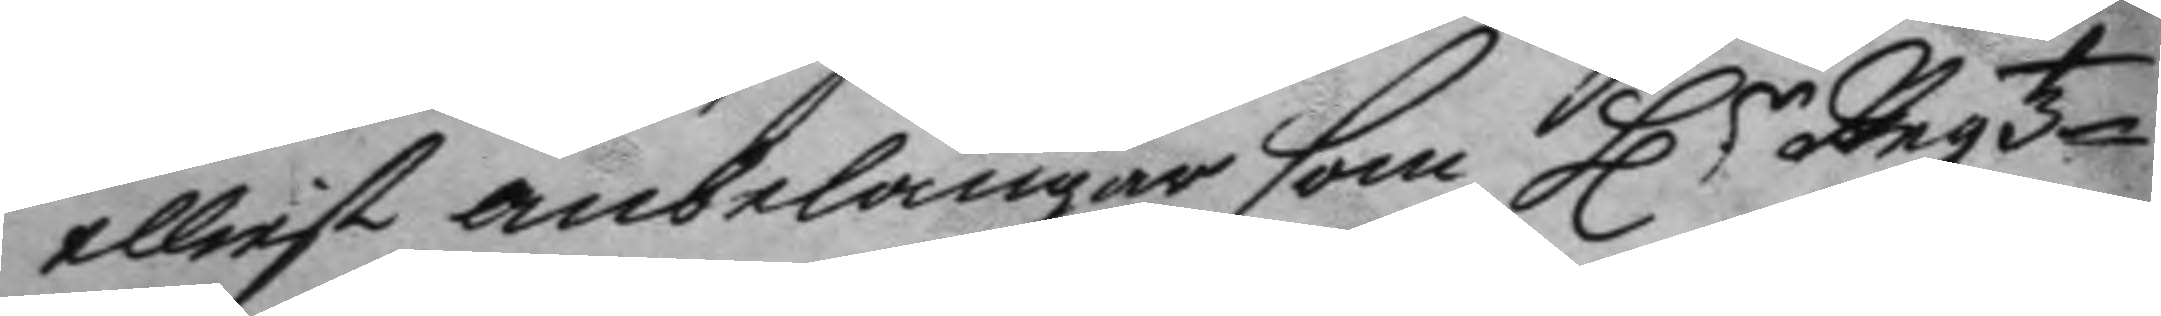elliest anbelangar som Hr Regtz
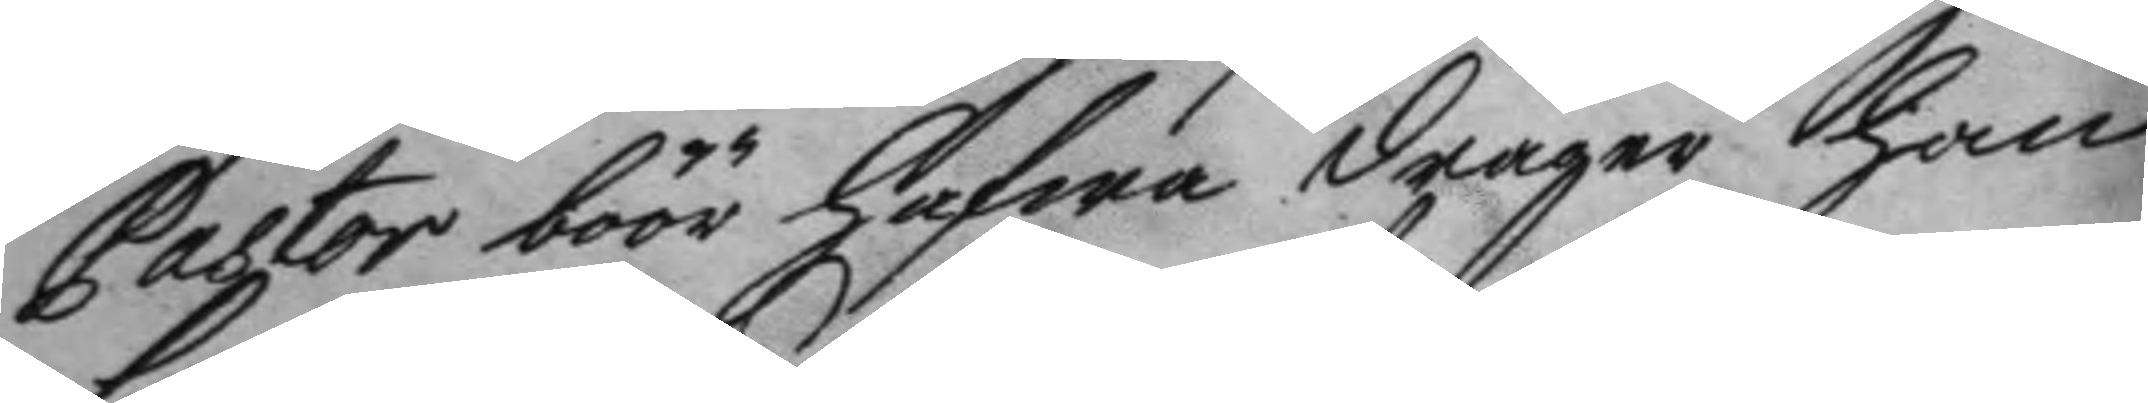pastor böör hafwa drager han
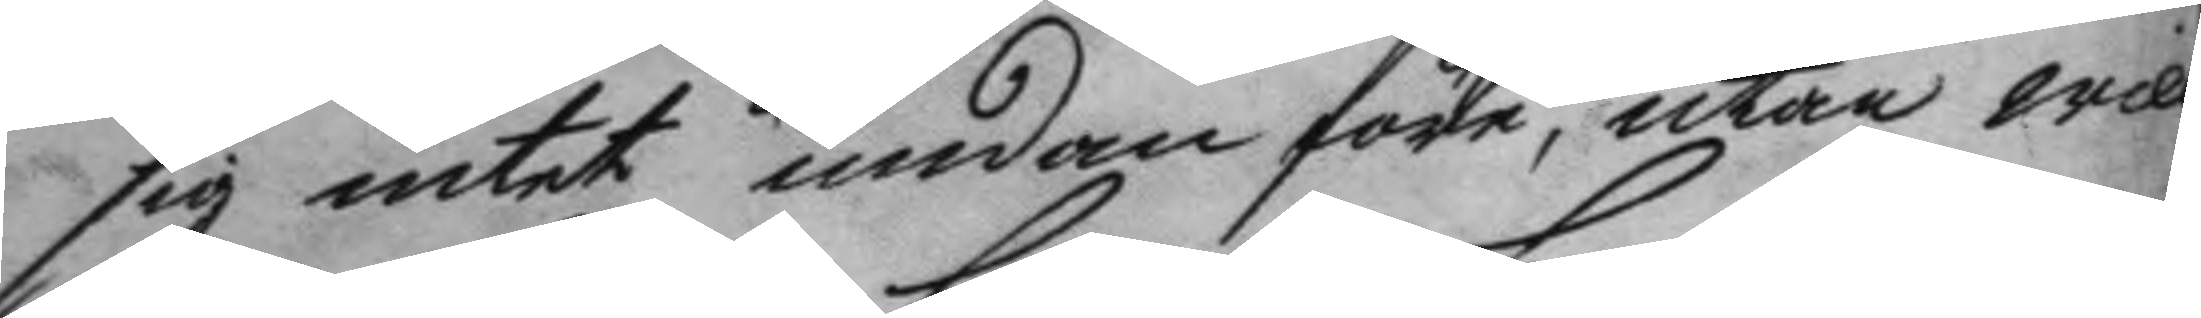sig intet undan före, utan will
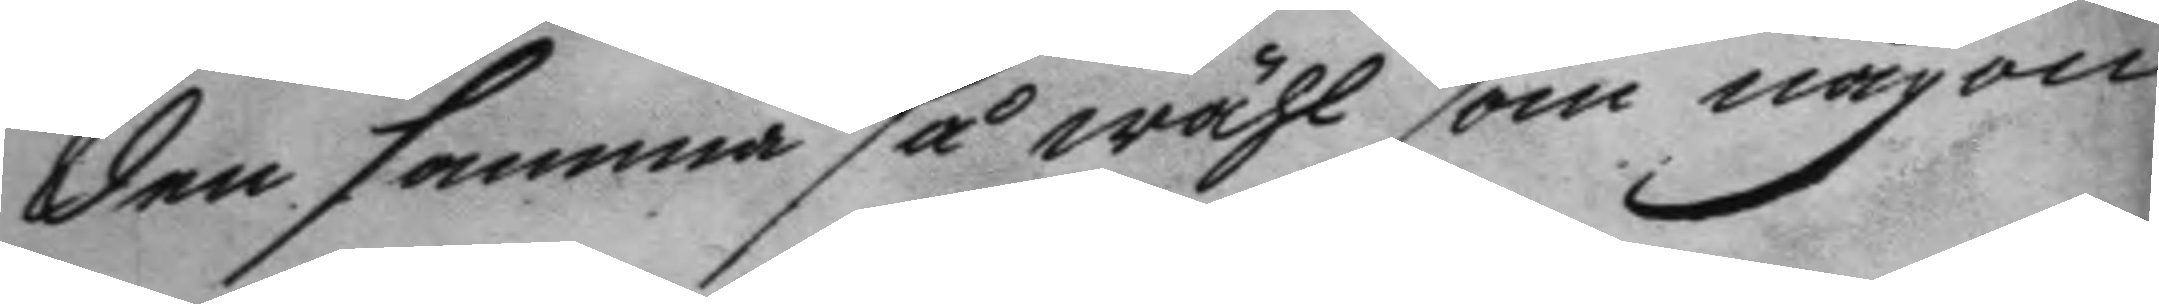den samma så wähl som någon
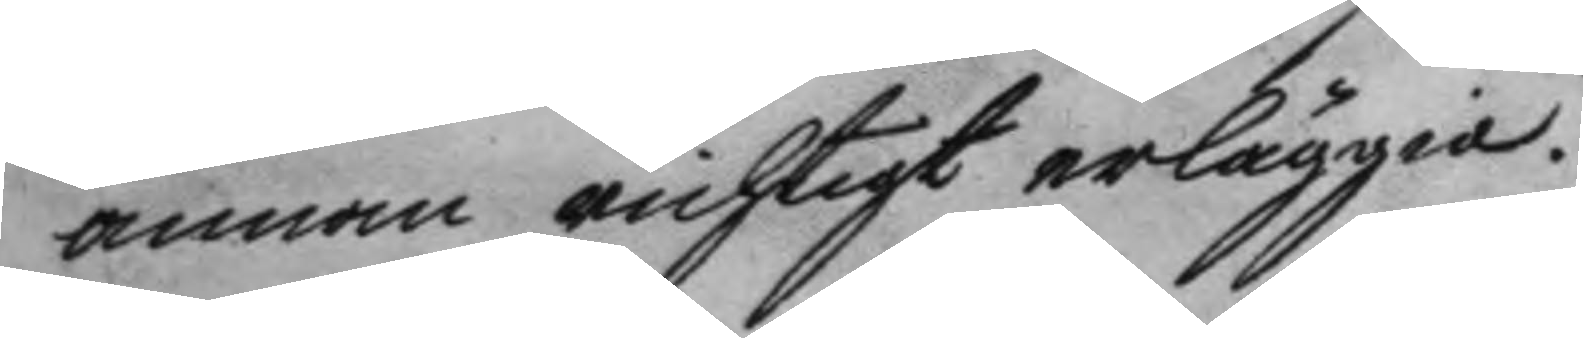annan richtigt erläggia.
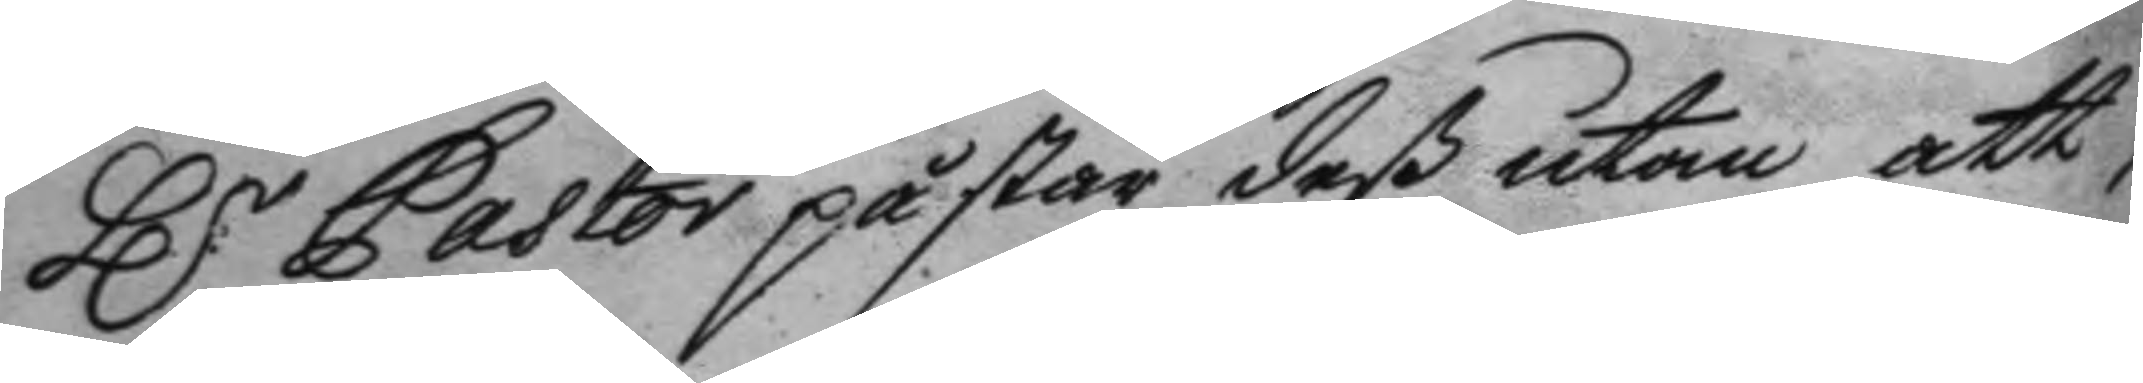Hr Pastor påstår deß utan att,
